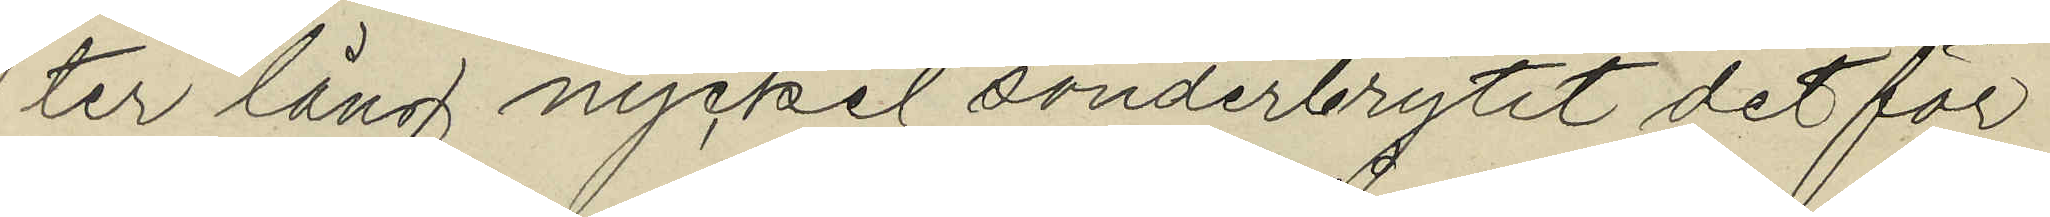ter lång nyckel sönderbrytit det för
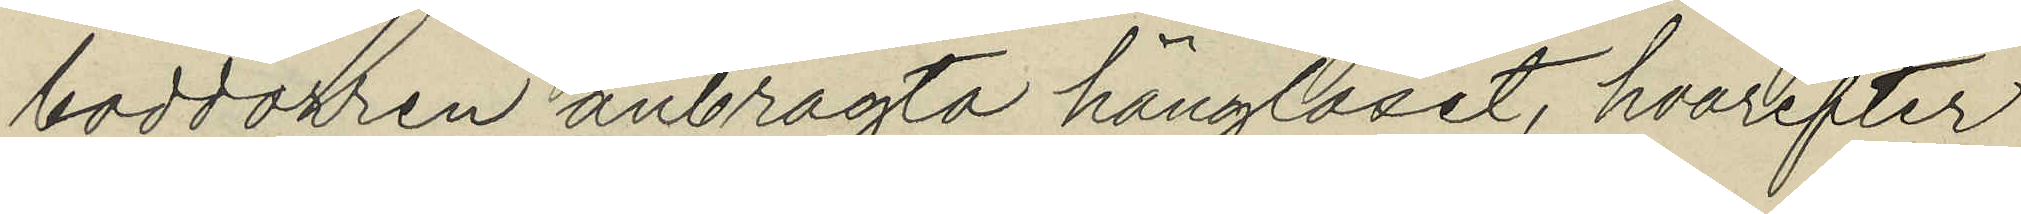boddörren anbragta hänglåset, hvarefter
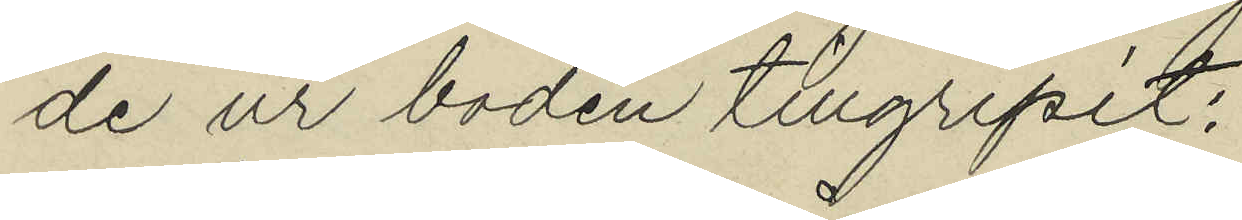de ur boden tillgripit:
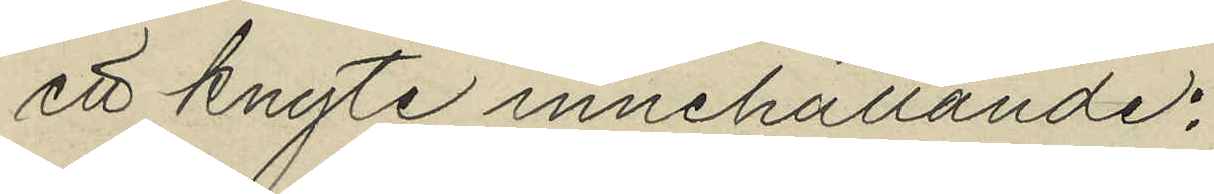ett knyte innehållande:
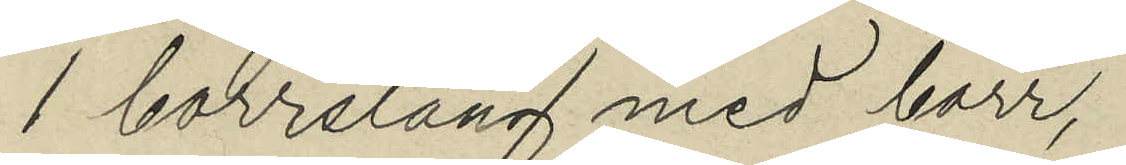1 borrsläng med borr,
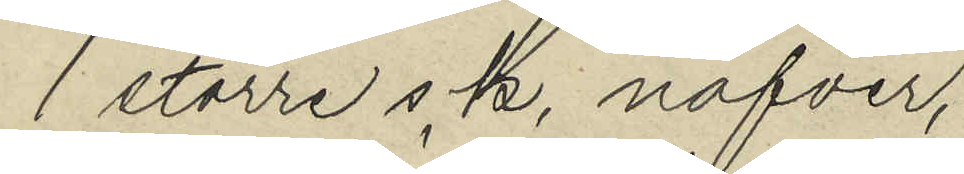1 större s. k. nafver,
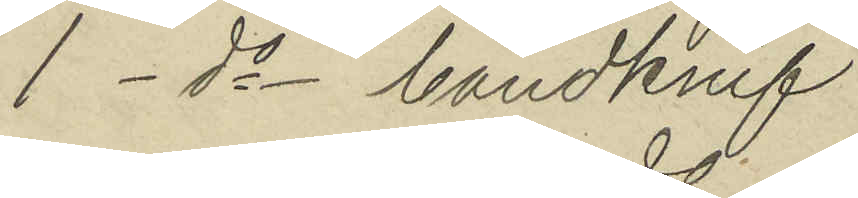1 - do - handknif
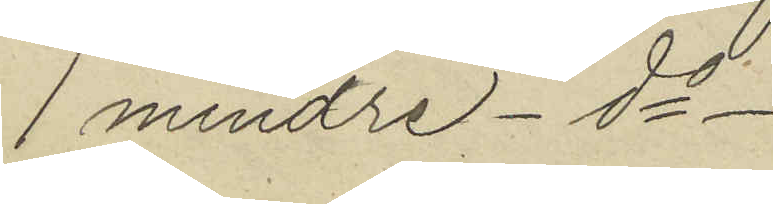1 mindre - do -
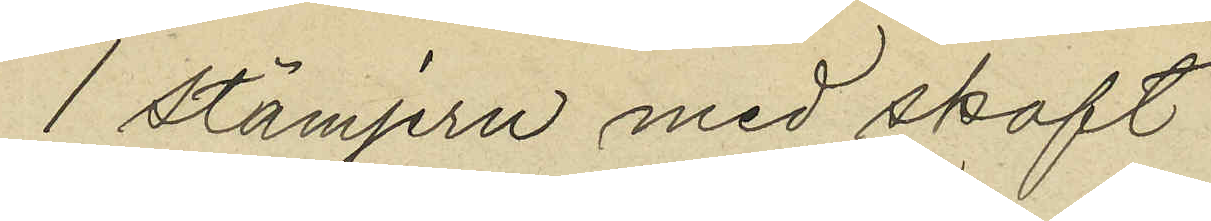1 stämjern med skaft
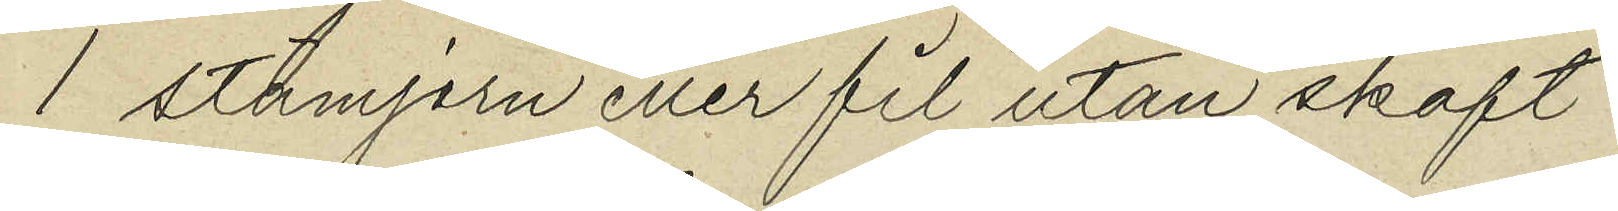1 stamjern eller fil utan skaft
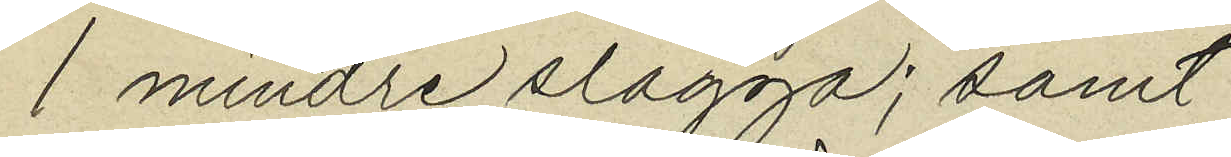1 mindre slägga; samt
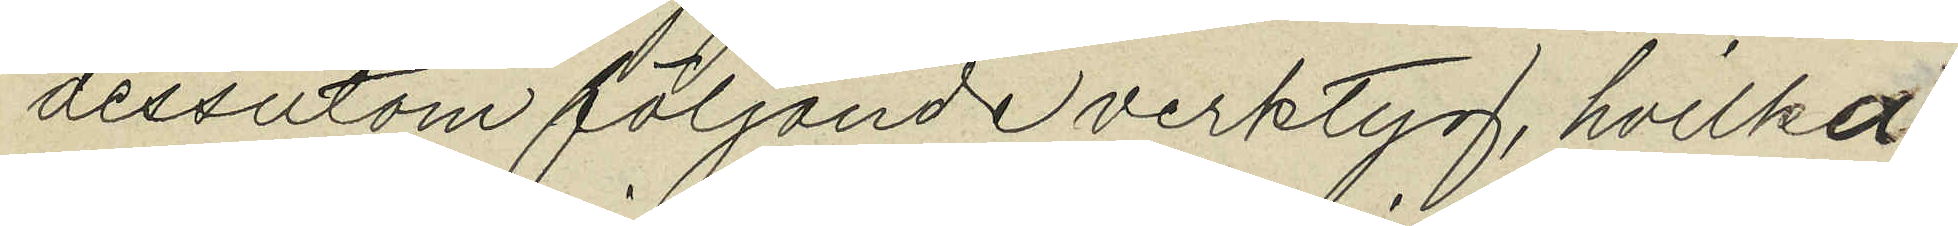dessutom följande verktyg, hvilka
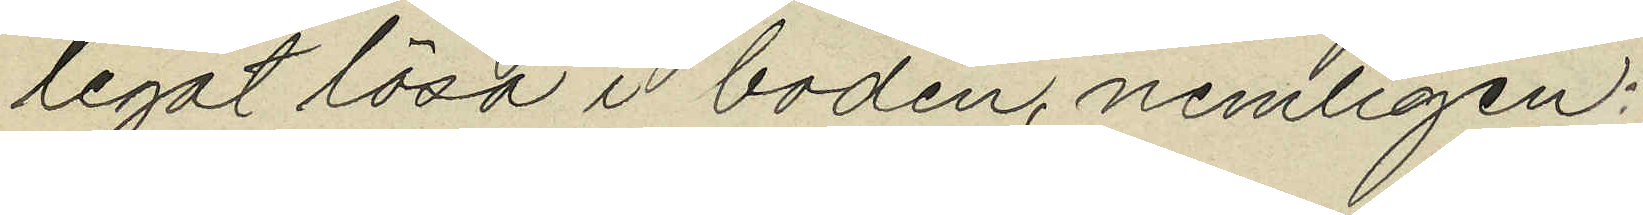legat lösa i boden, nemligen:
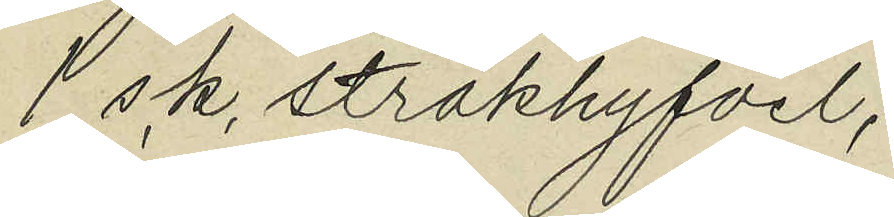1 s.k. stråkhyfvel,
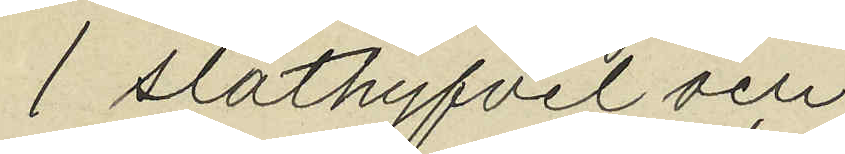1 släthyfvel och
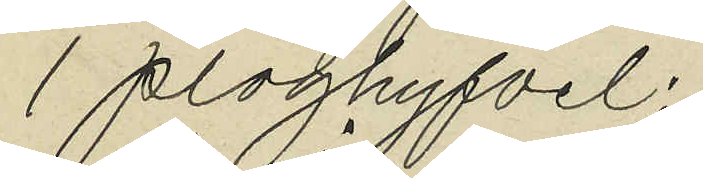1 ploghyfvel;
